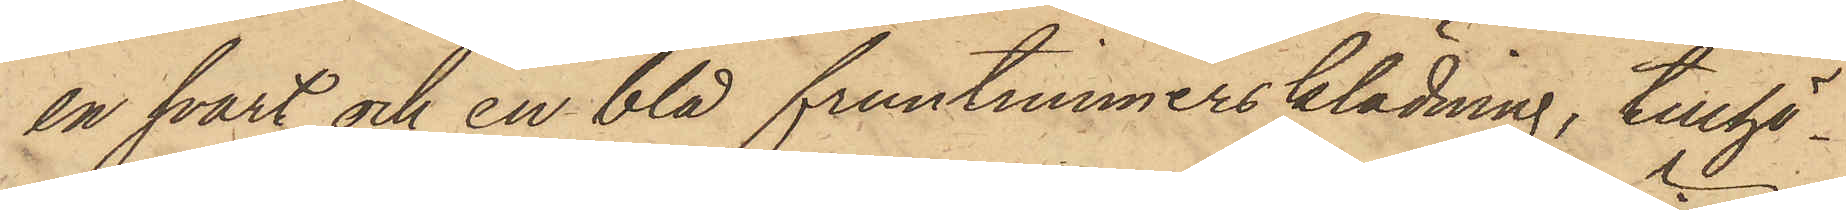en svart och en blå fruntimmersklädning, tillhö¬
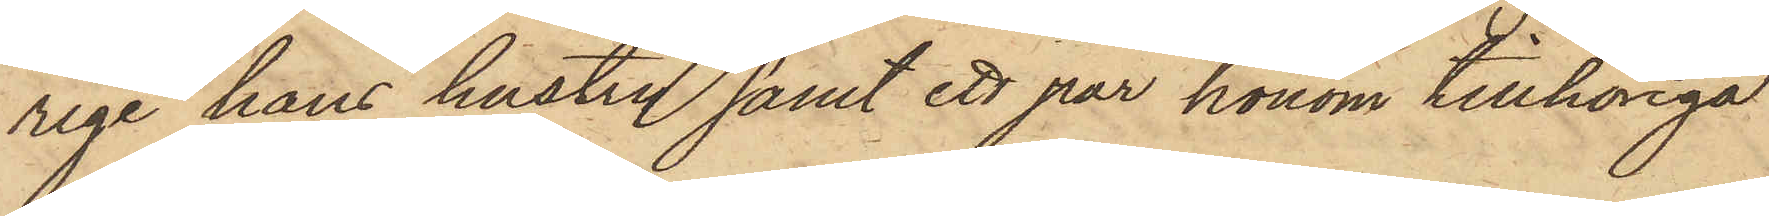rige hans hustru samt ett par honom tillhöriga
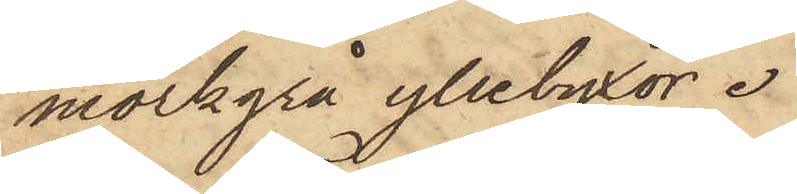mörkgrå yllebyxor.
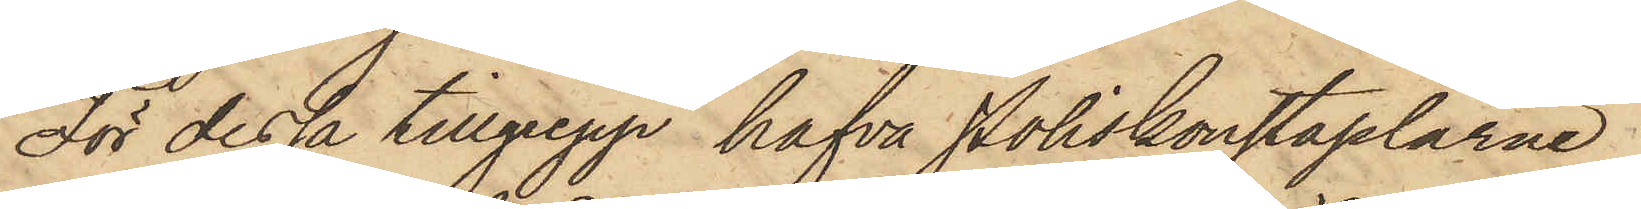För dessa tillgrepp hafva Poliskonstaplarne
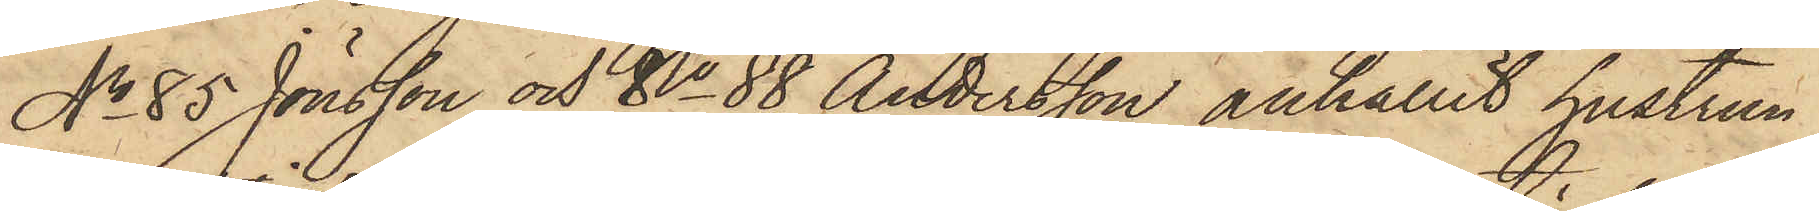No 85 Jönsson och No 88 Andersson anhållit hustrun
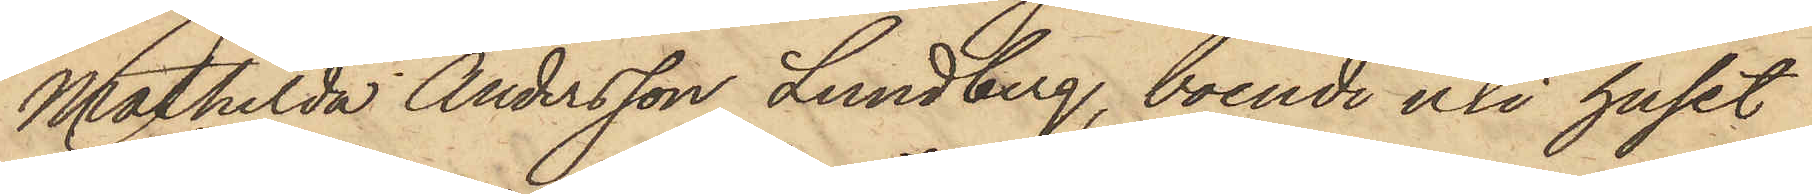Mathilda Andersson Lundberg, boende uti huset
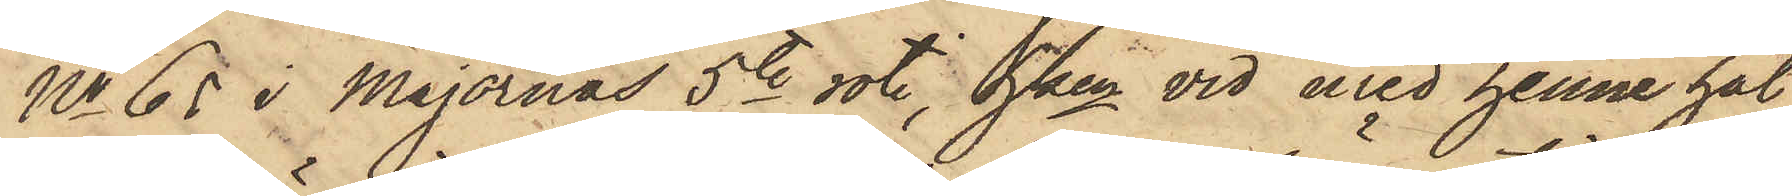No 65 i Majornas 5te rote, hken vid med henne hål¬
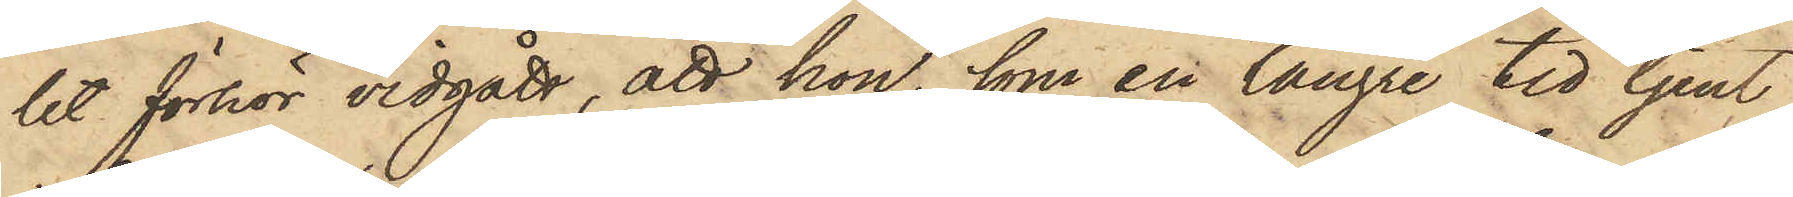let förhör vidgått, att hon, som en längre tid tjent
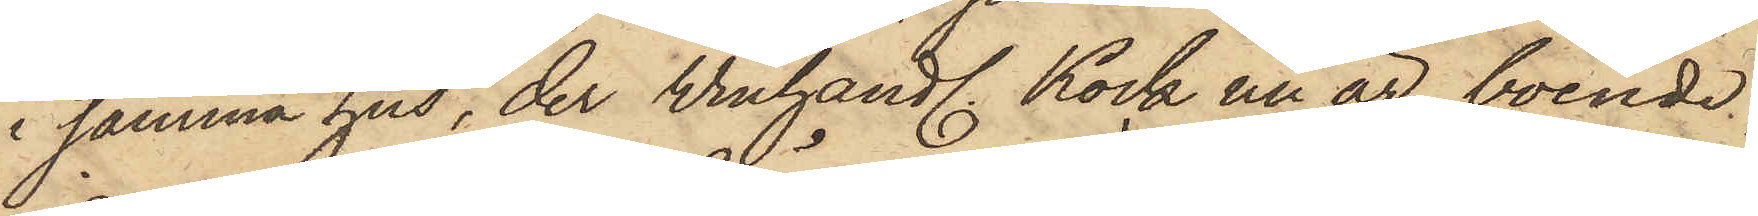i samma hus, der Winhandl. Kock nu är boende,
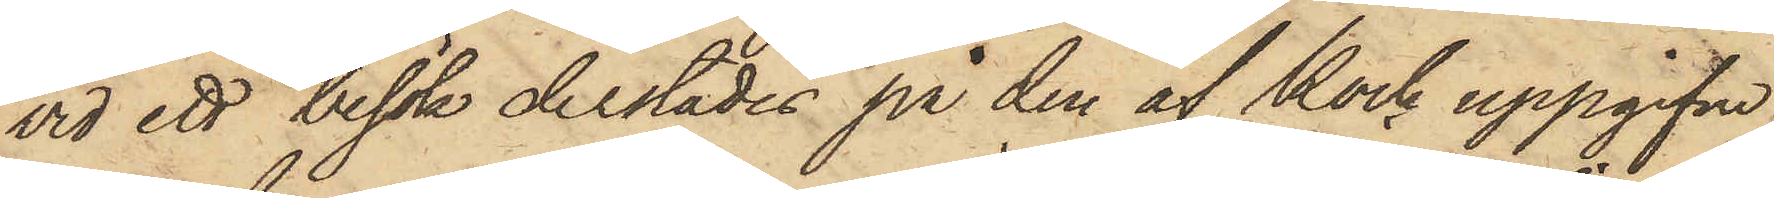vid ett besök derstädes på den af Kock uppgifvne
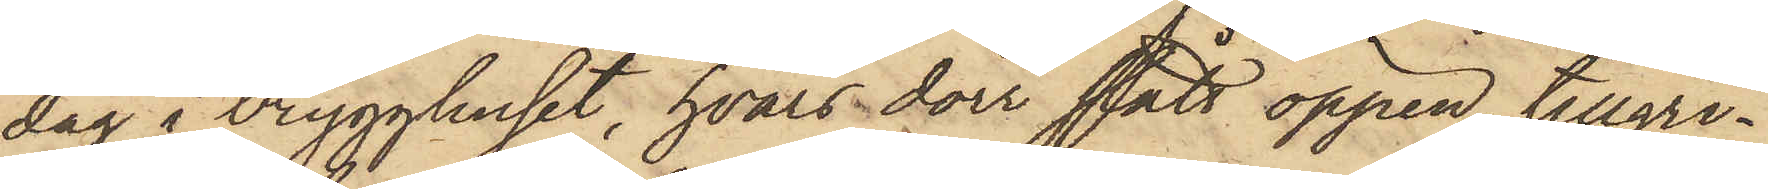dag i brygghuset, hvars dörr stått öppen, tillgri¬
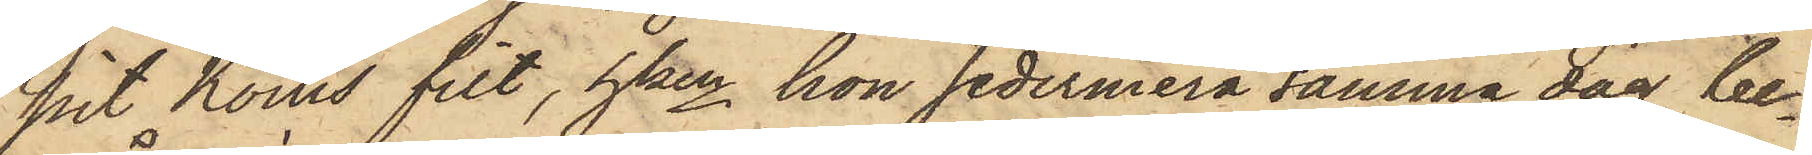pit Kocks filt, hken hon sedermera samma dag be¬
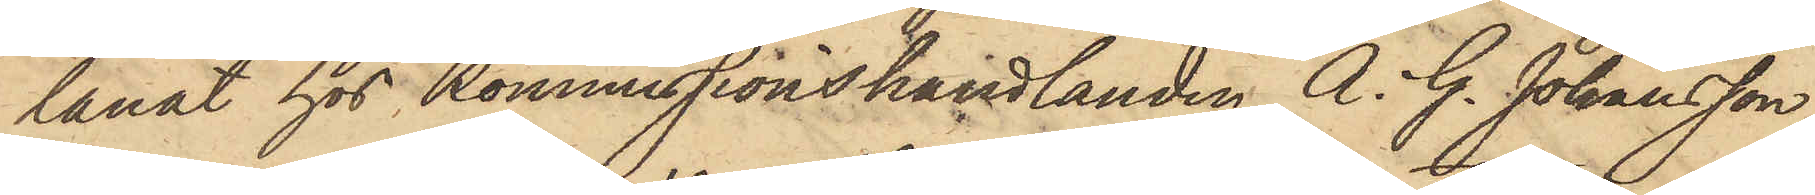lånat hos Kommissionshandlanden A. G. Johansson,
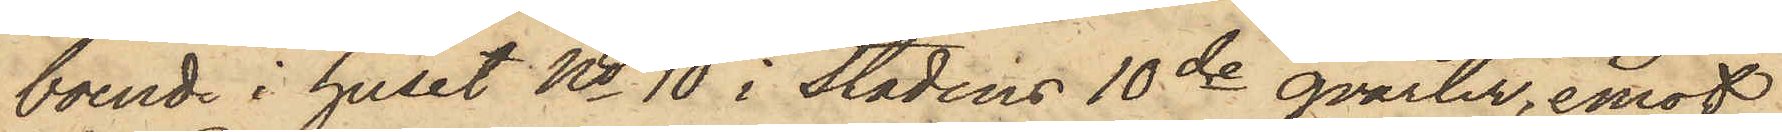boende i huset No 10 i Stadens 10de qvarter, emot
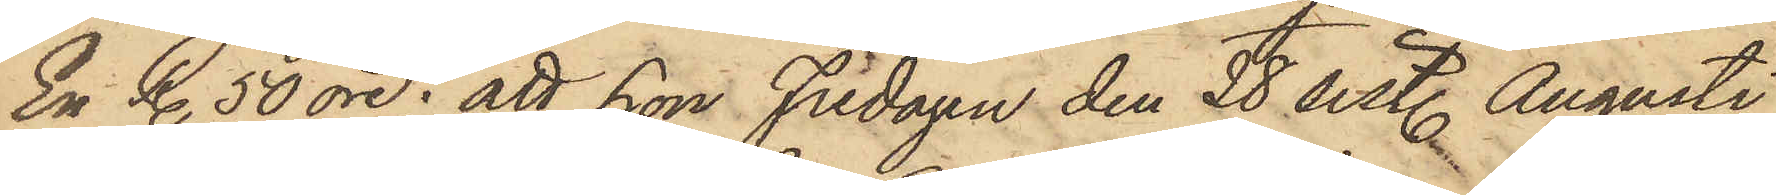En R. 50 öre; att hon Fredagen den 28 sistl. Augusti
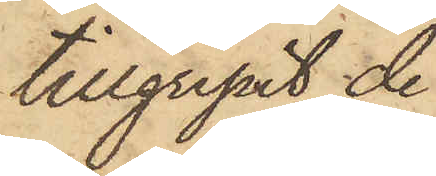tillgripit de
